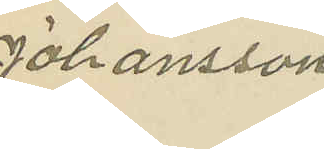Johansson.
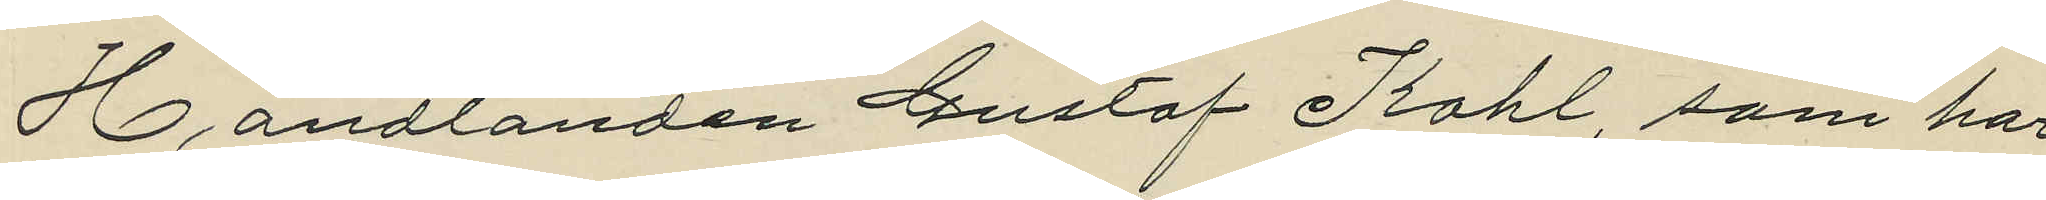Handlanden Gustav Kahl, som har
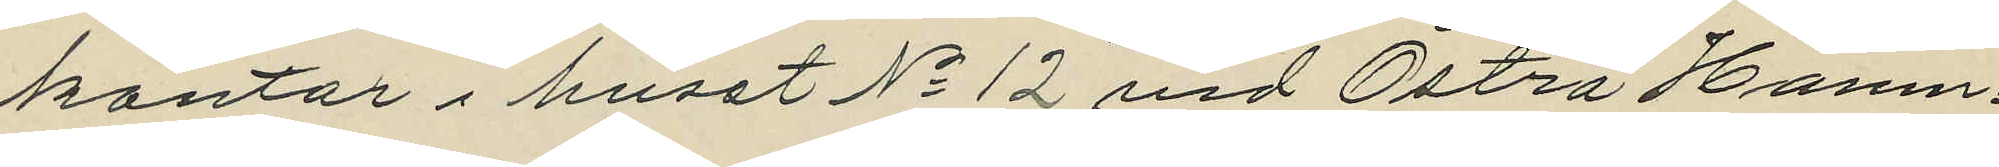kontor i huset No 12 vid Östra Hamn¬
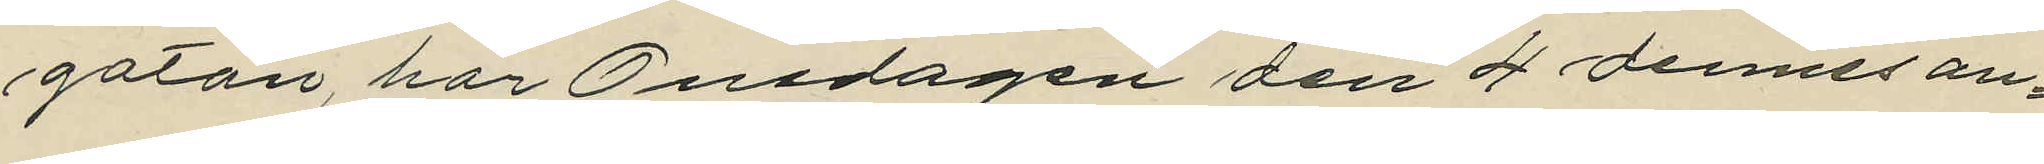gatan, har Onsdagen den 4 dennes an¬
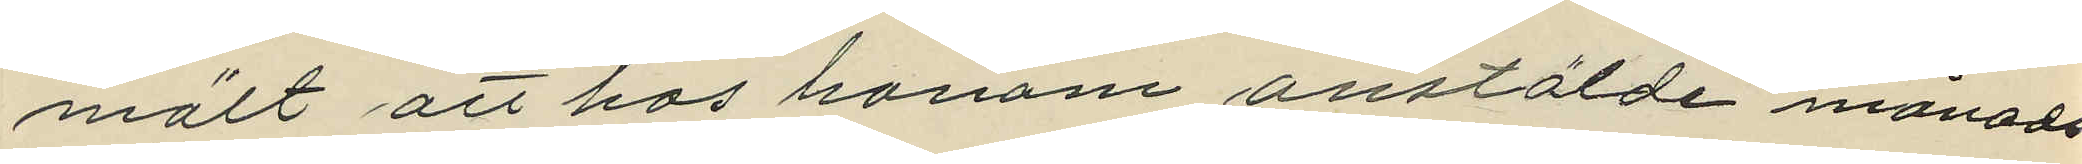mält att hos honom anstälde månads¬
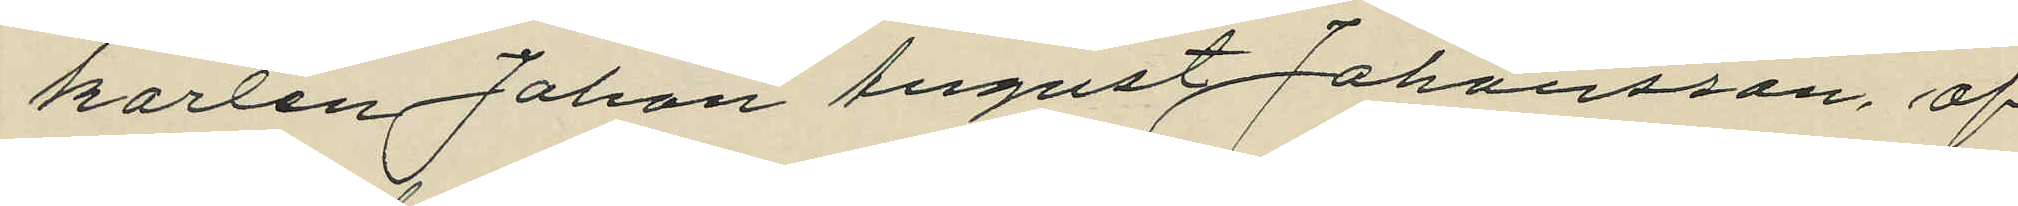karlen Johan August Johansson af
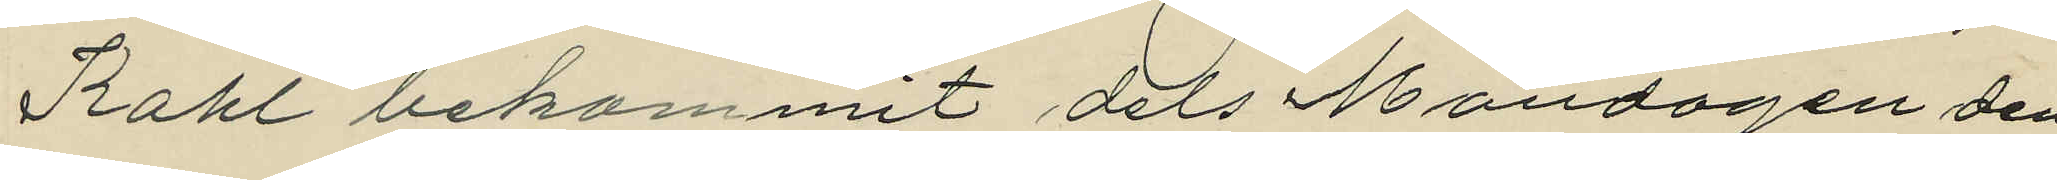Kahl bekommit dels Måndagen den
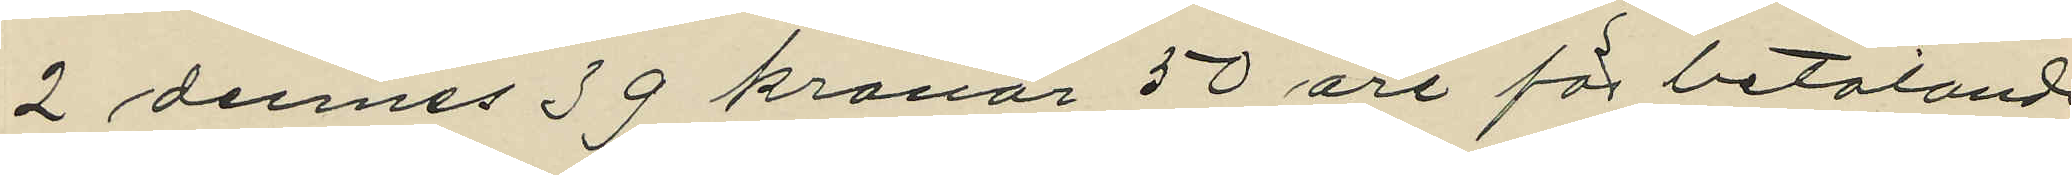2 dennes 39 kronor 50 öre för betalande
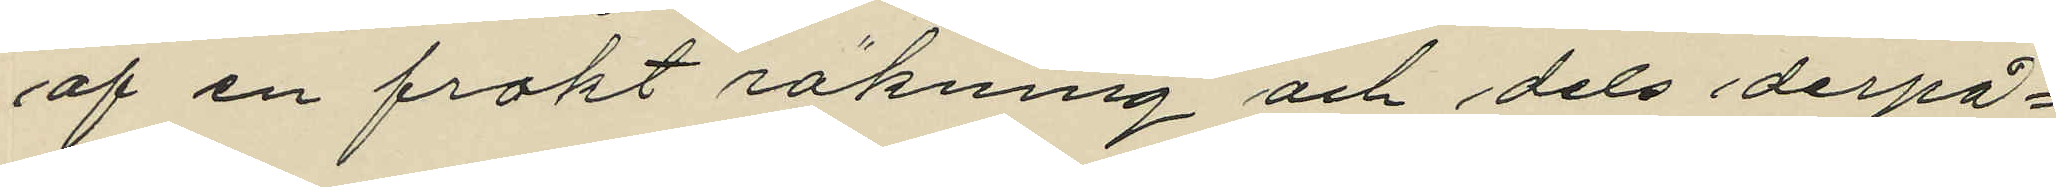af en frakt räkning och dels derpå¬
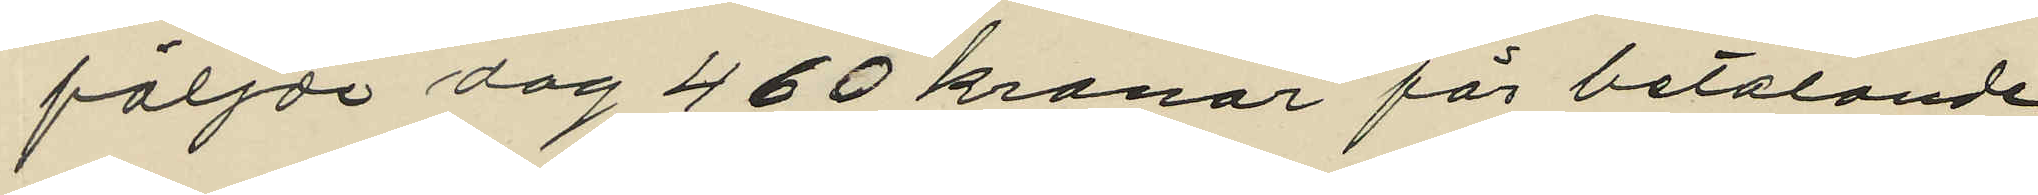följde dag 460 kronor för betalande
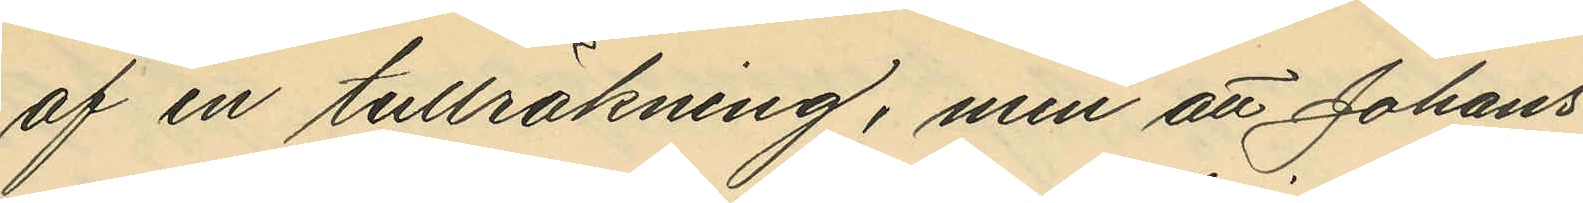af en tullräkning, men att Johans¬
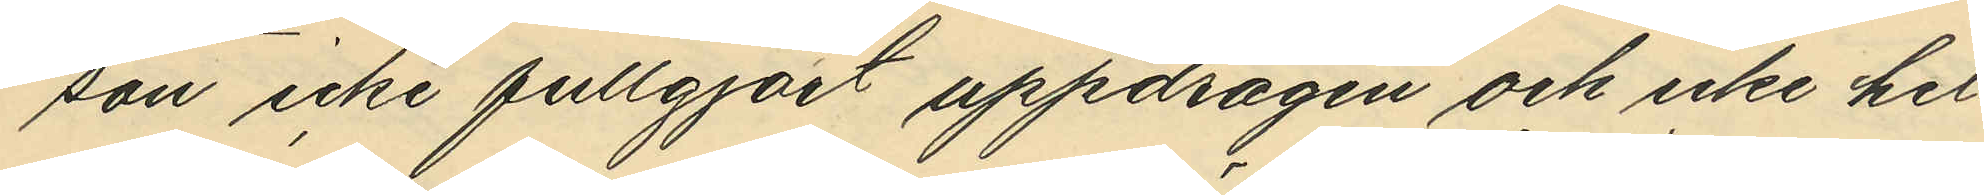son icke fullgjort uppdragen och icke hel¬
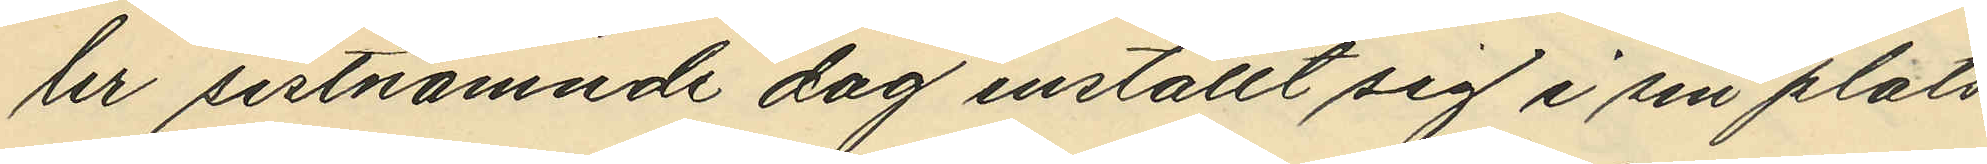ler sistnämnde dag inställt sig i sin plats,
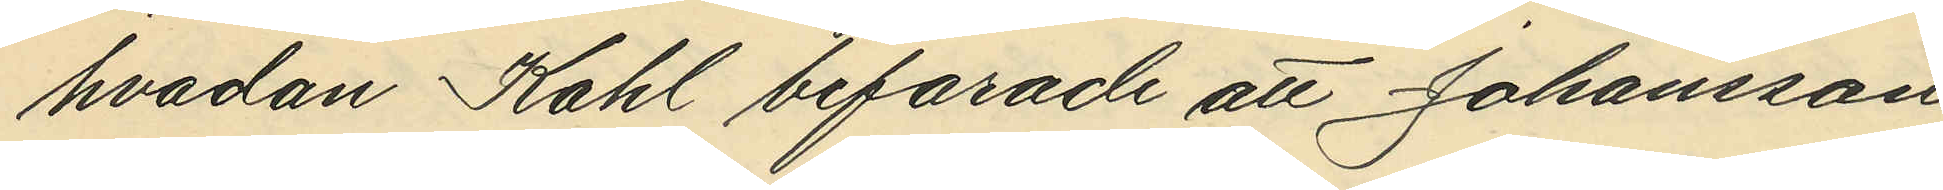hvadan Kahl befarade att Johansson
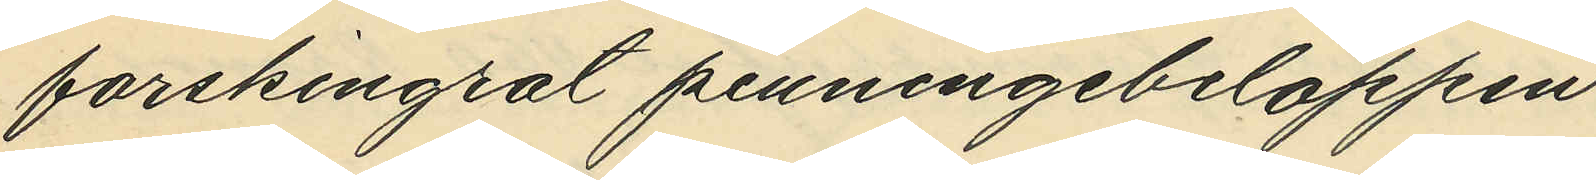forskingrat penningebeloppen.
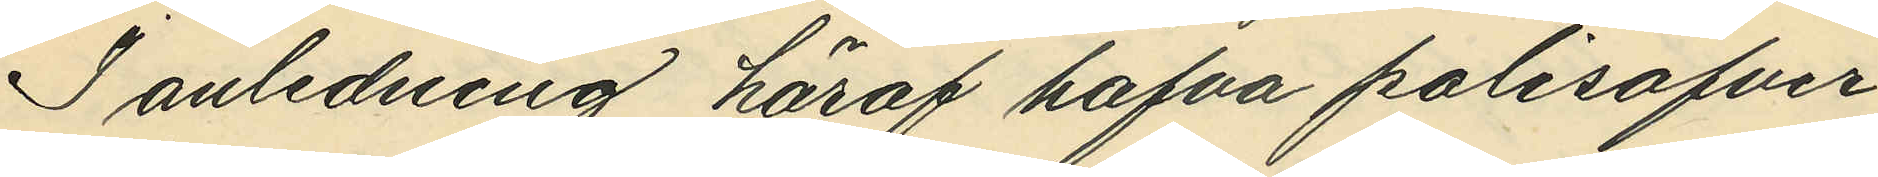I anledning häraf hafva polisöfver¬
